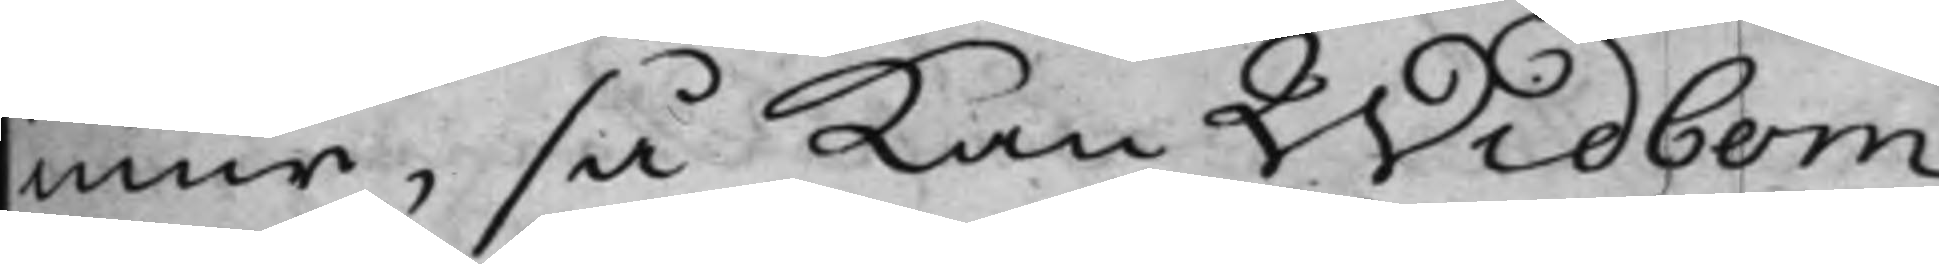mur, så kan Widbom
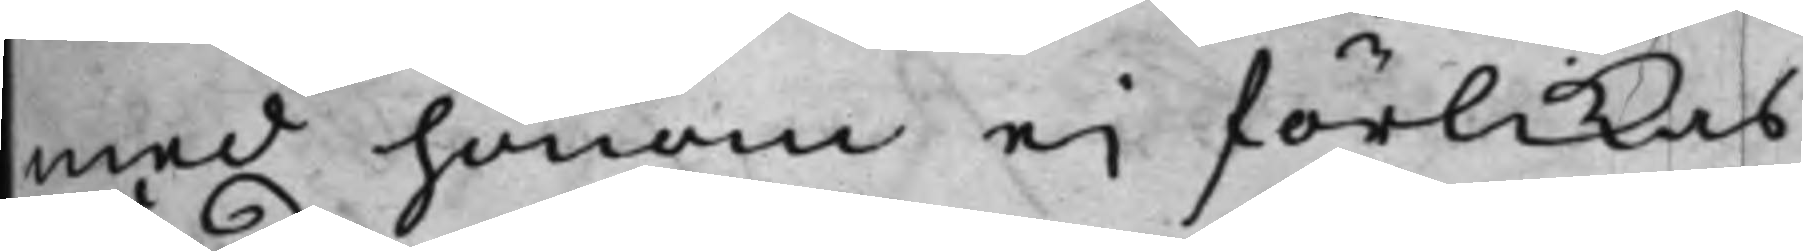med honom eij förlikas.
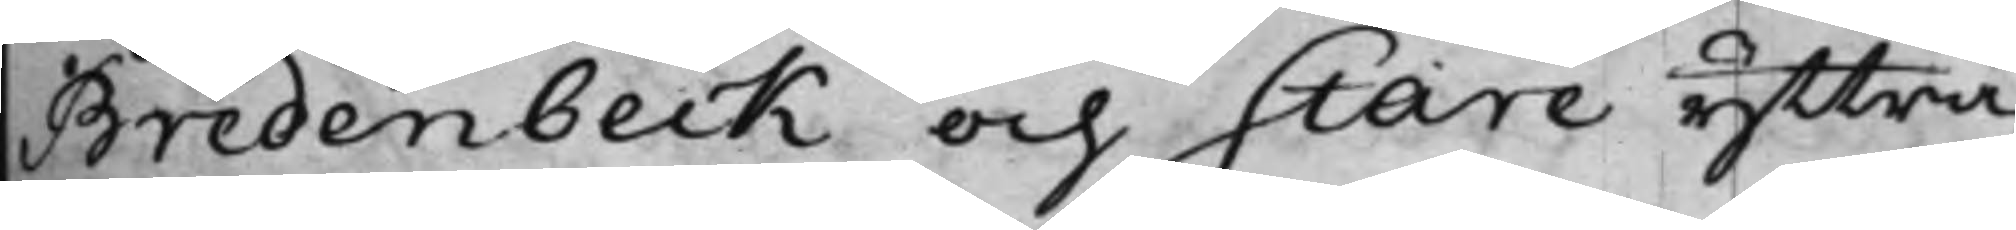Bredenbeck och Stare yttra¬
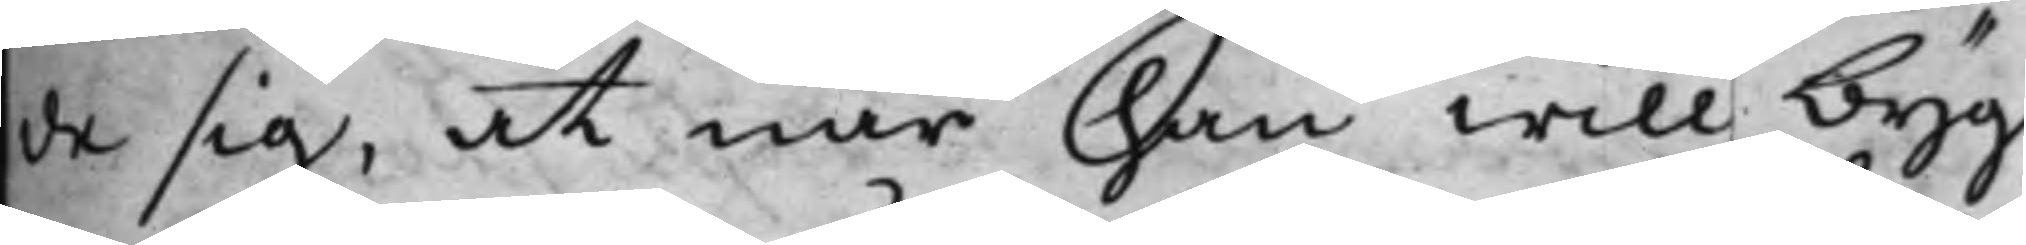de sig, at när han will byg¬
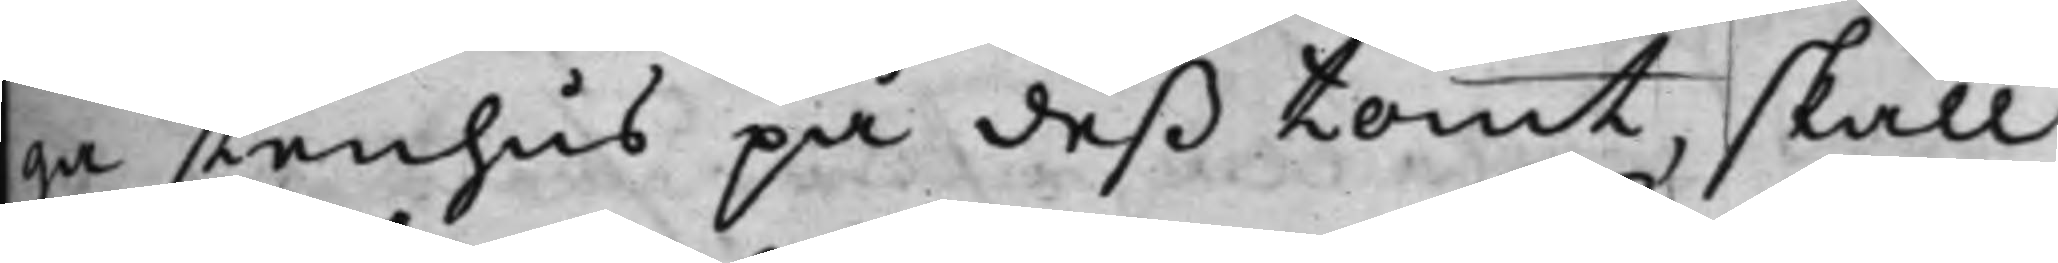ga stenhus på deß tomt, skall
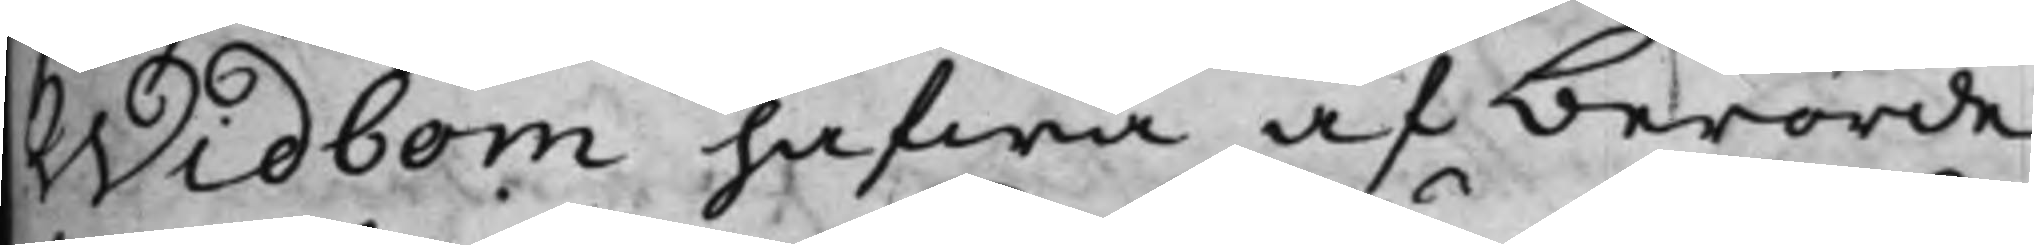Widbom hafwa af berörde
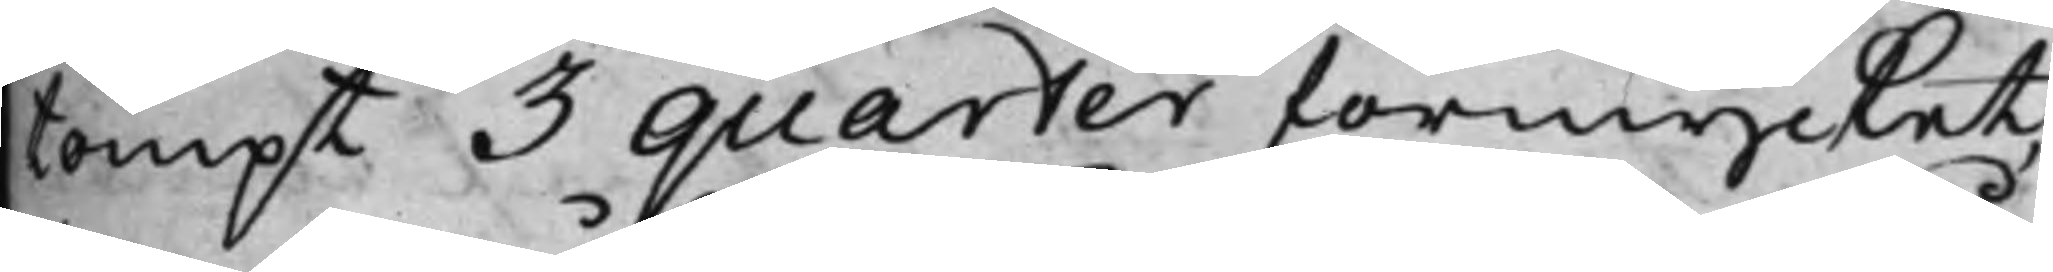tompt 3 quarter förmycket,
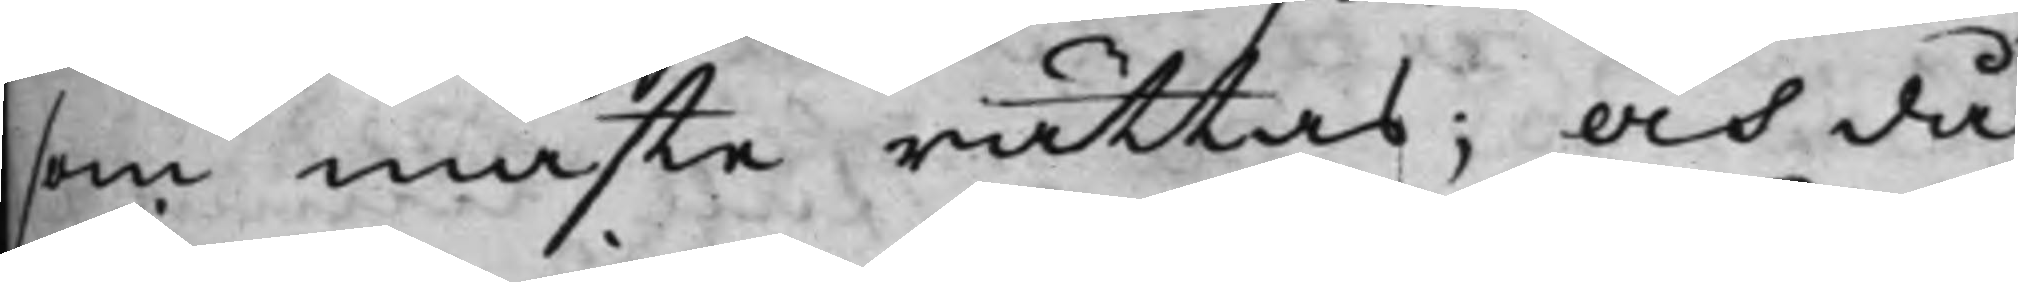som måste rättas; och då
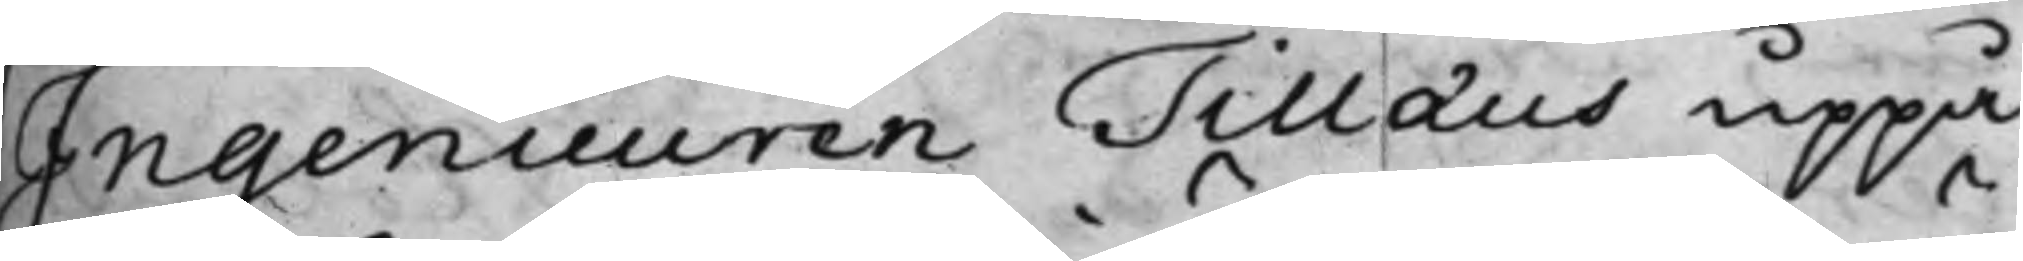Ingenieuren Tillæus uppå
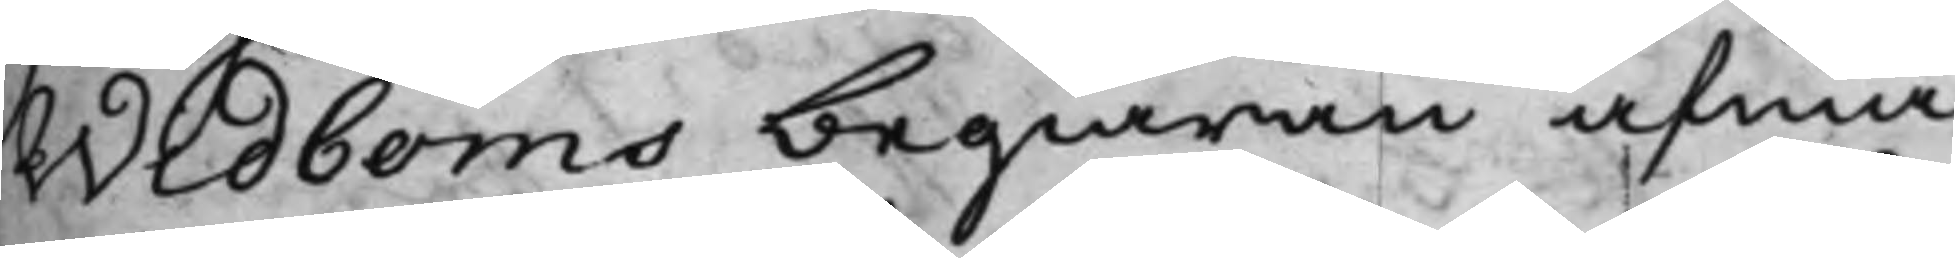Widboms begiäran afmä¬
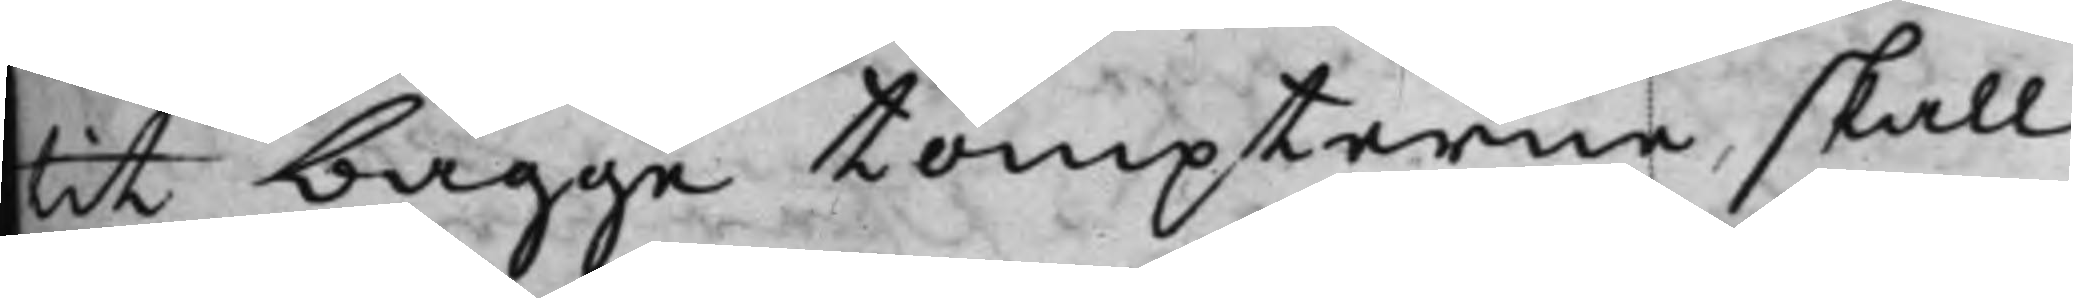tit bägge tompterne, skall
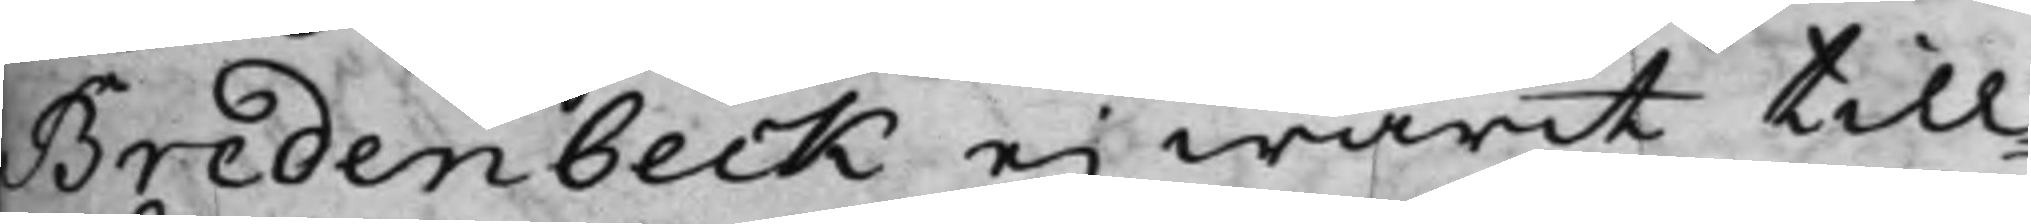Bredenbeck ei warit till¬
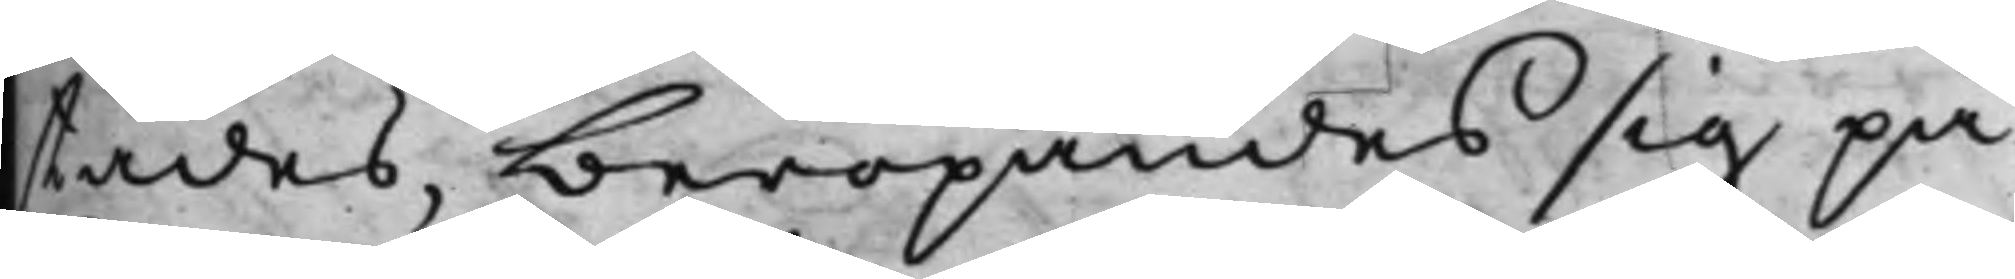städes, beropandes sig på
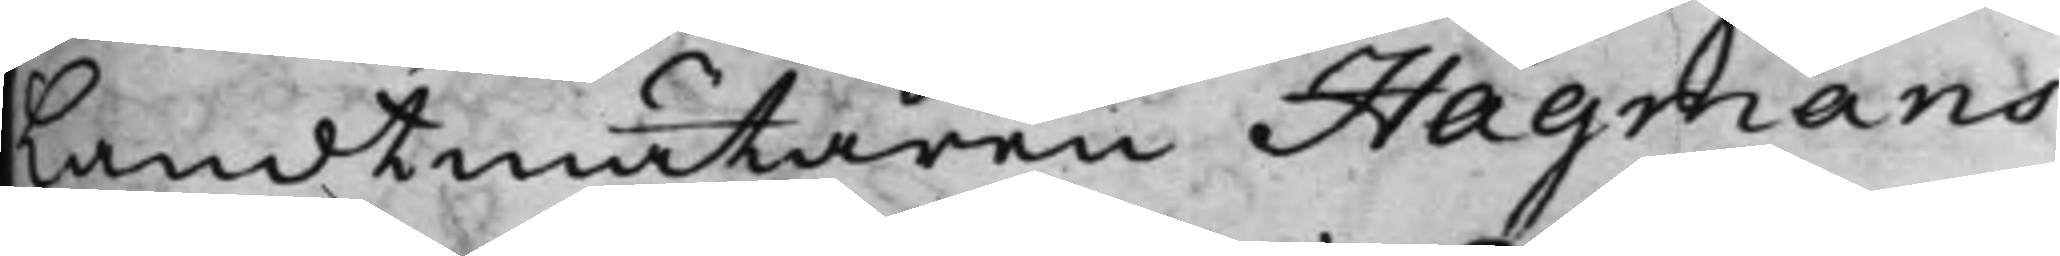Landtmätaren Hagmans
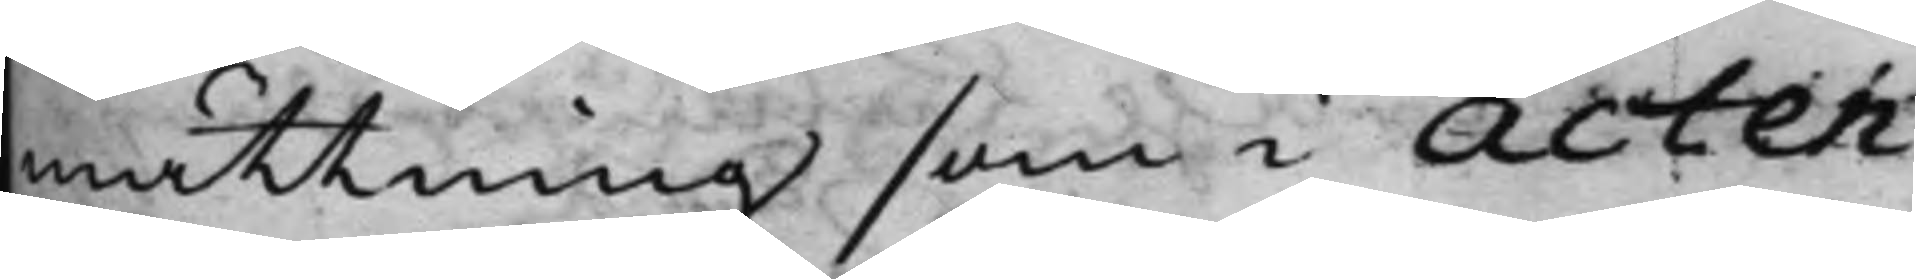mättning som i Acten
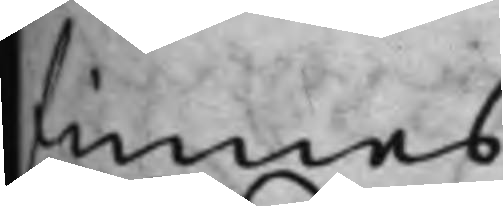finnes.
